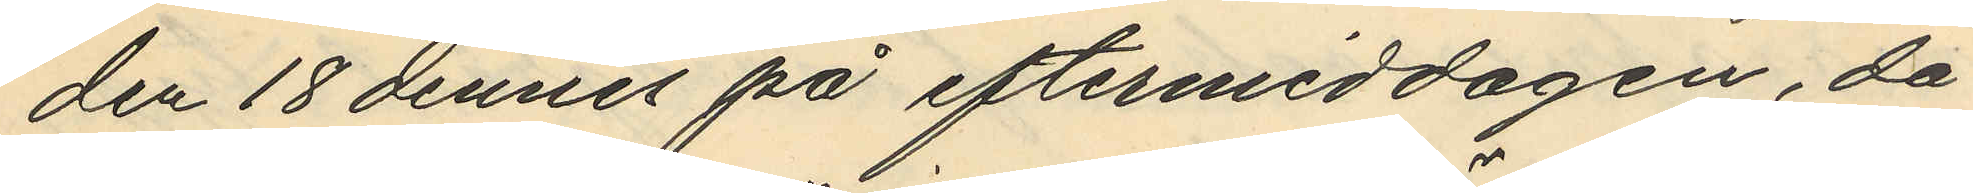den 18 dennes på eftermiddagen, då
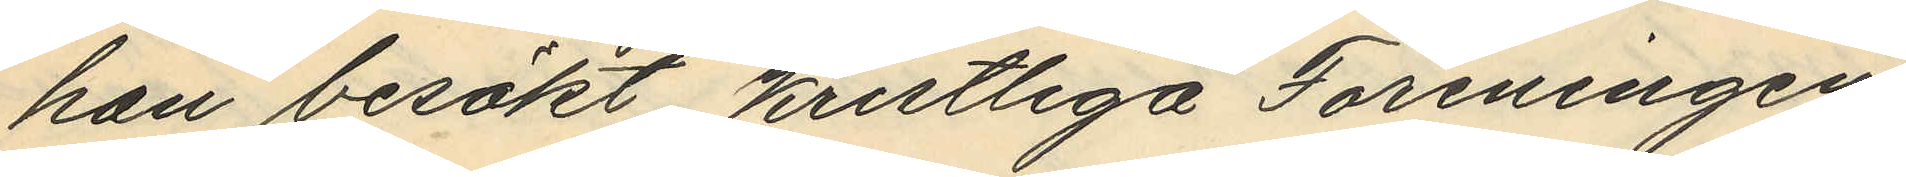han besökt Kristliga Föreningen
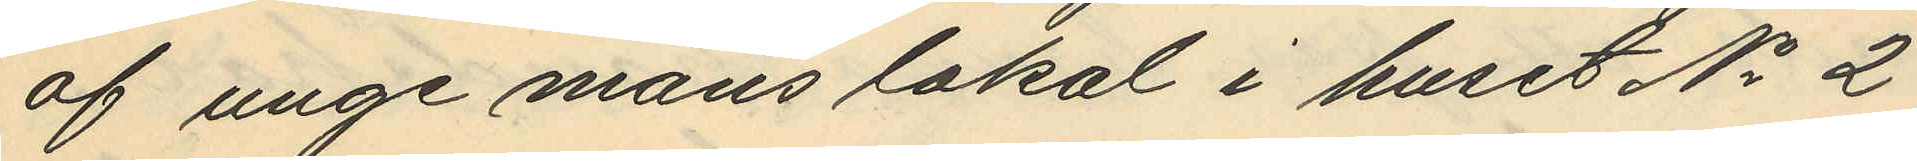af unge mans lokal i huset No 2
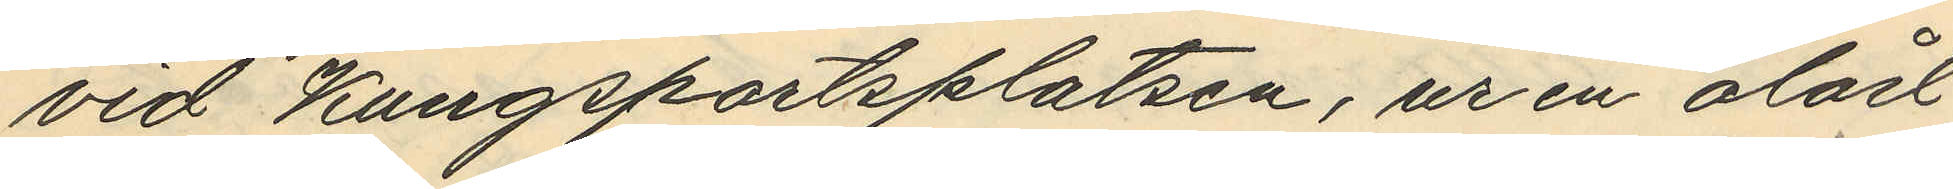vid Kungsportsplatsen, ur en olåst
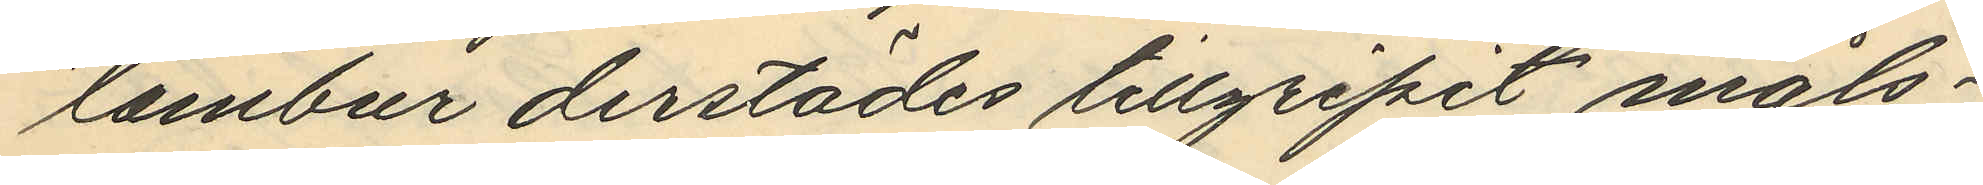tambur derstädes tillgripit måls¬
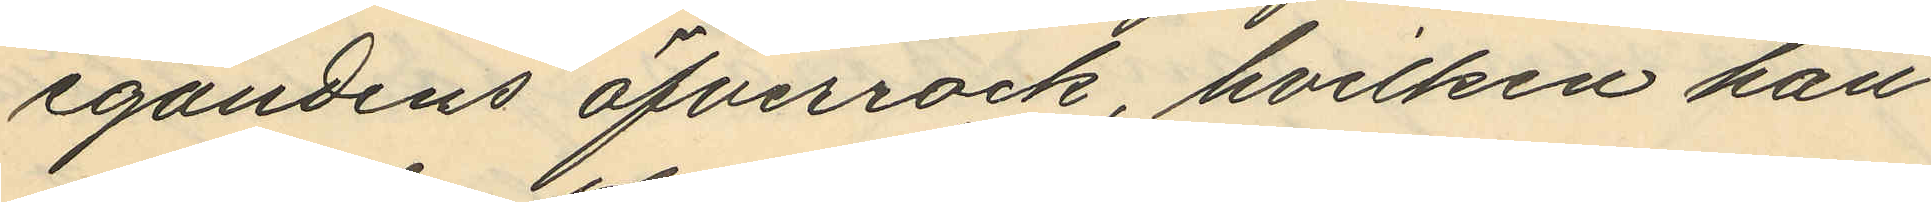egandens öfverrock, hvilken han
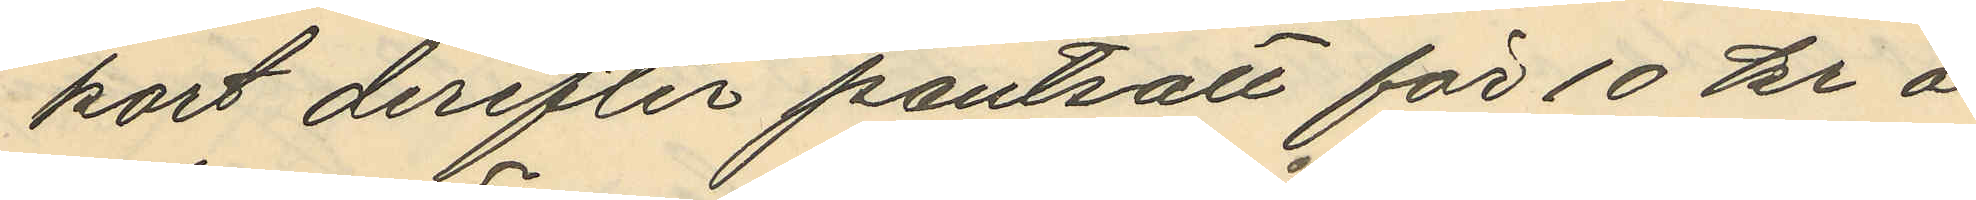kort derefter pantsatt för 10 kr å
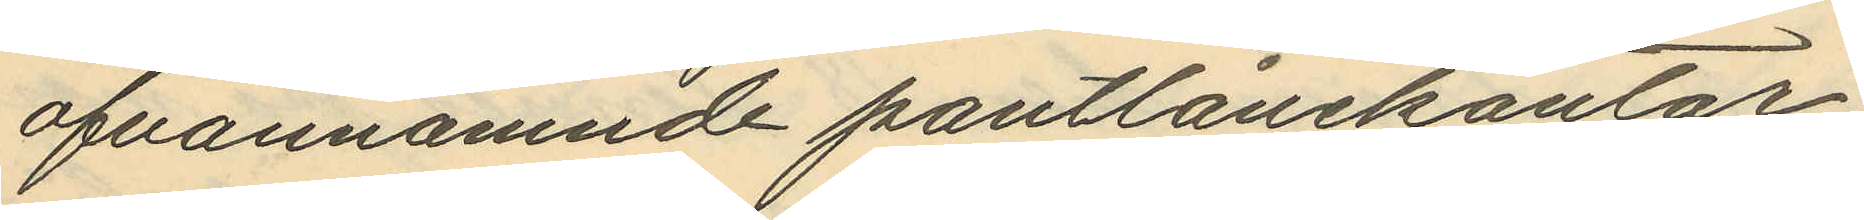ofvannämnde pantlånekontor
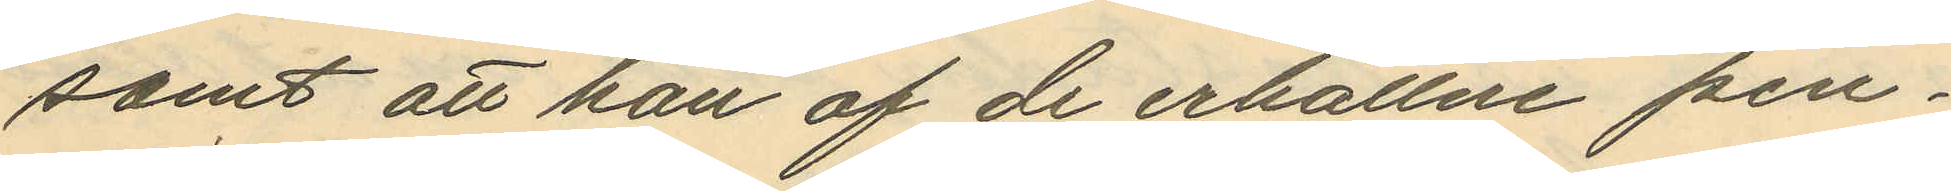samt att han af de erhållne pen¬
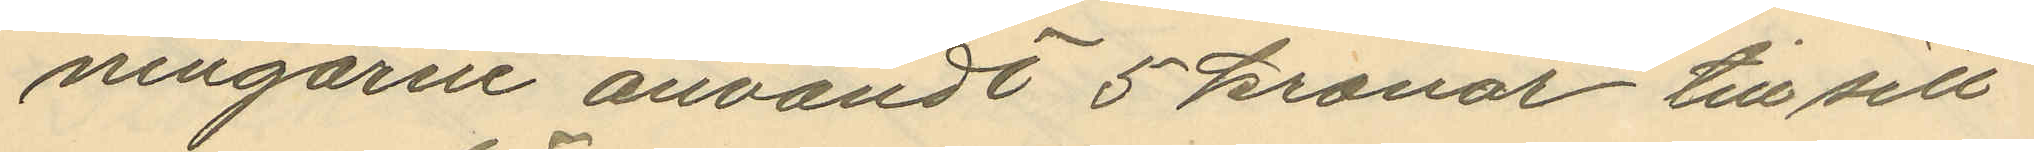ningarne användt 5 kronor till sitt
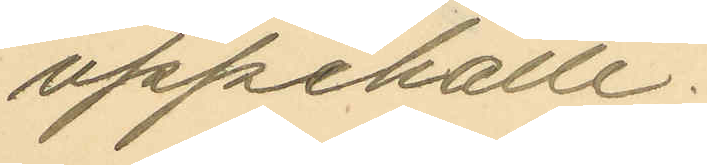uppehälle.
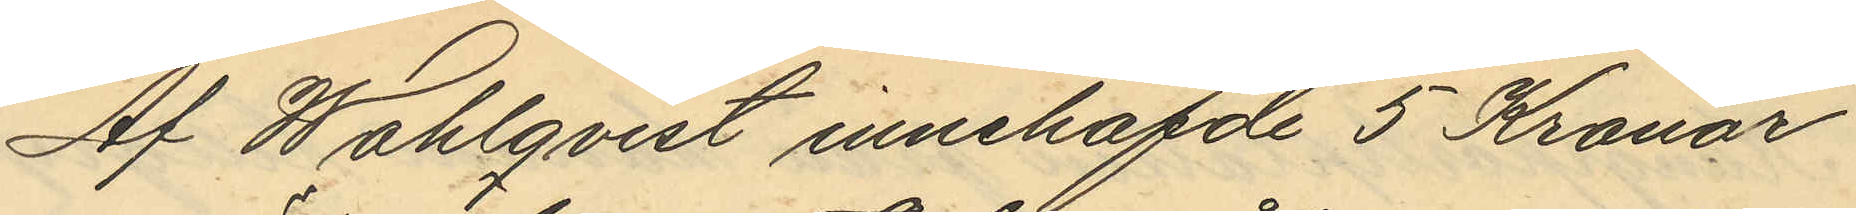Af Wahlqvist innehafde 5 Kronor
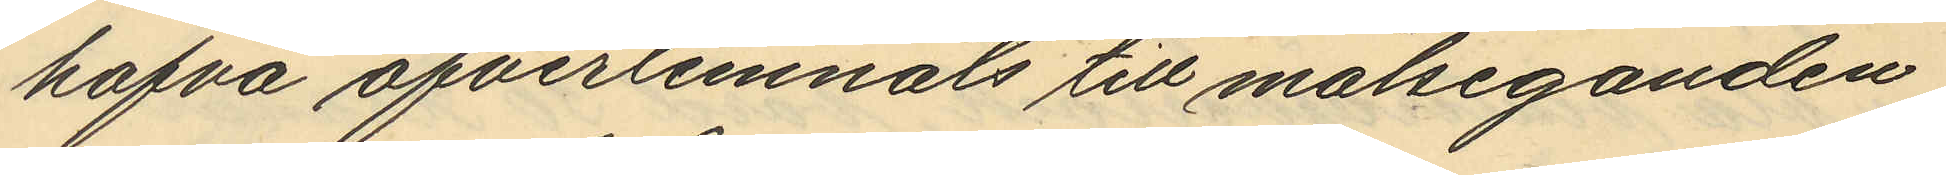hafva öfverlemnats till målseganden
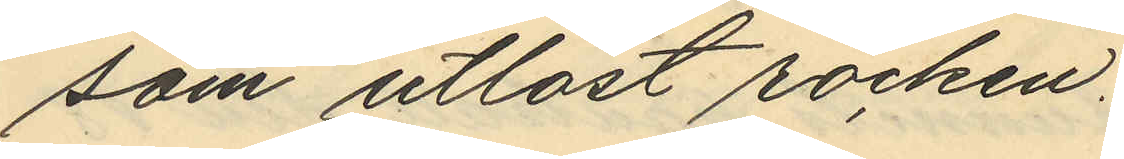som utlöst rocken.
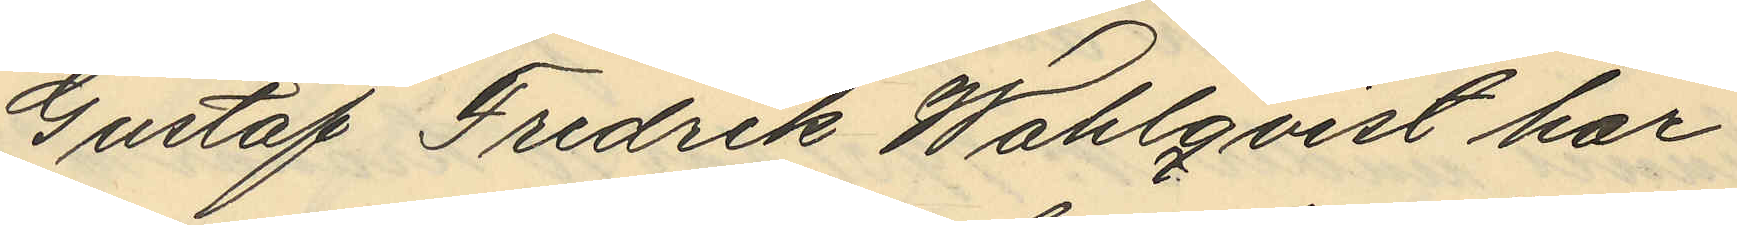Gustaf Fredrik Wahlqvist har
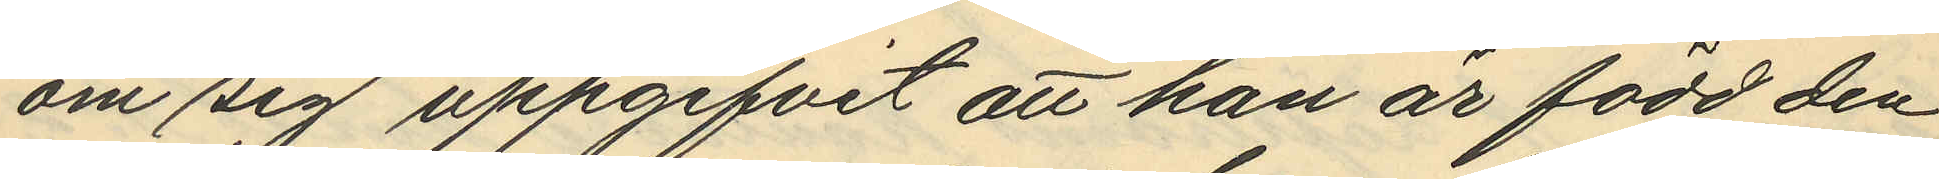om sig uppgifvit att han är född den
